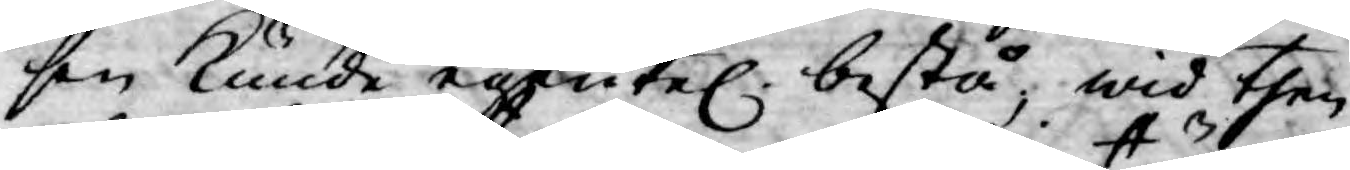sen kunde egentel. bestå, wid then
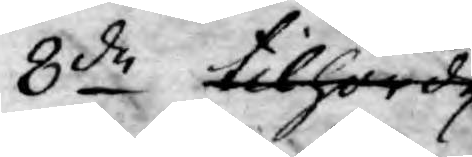8de tilhörde
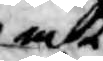att
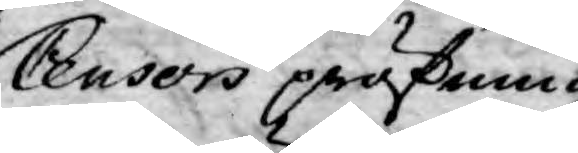Censors pröfning
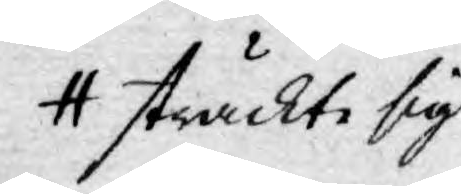sträckte sig
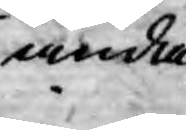ända
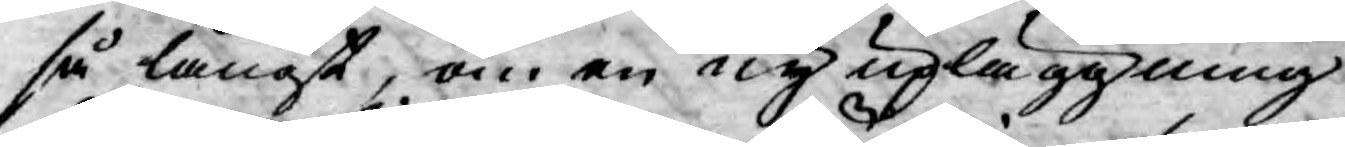så långt, om en ny upläggning
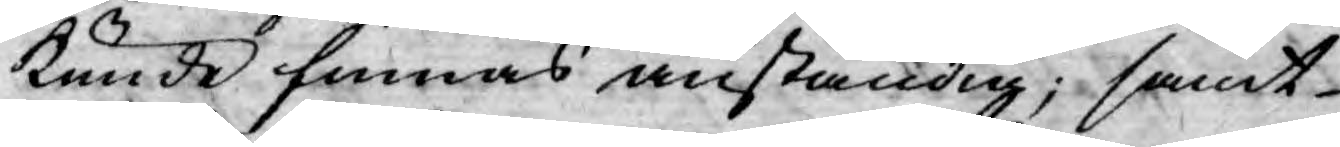kunde finnas anständig; samt
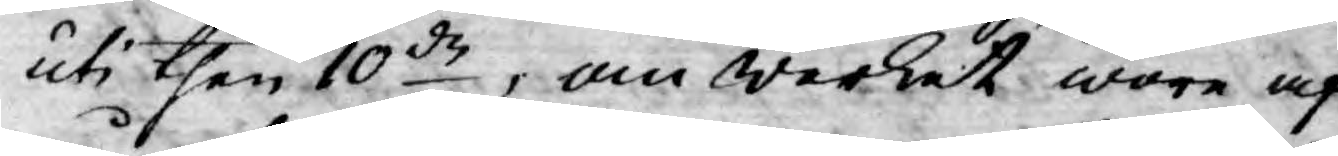uti then 10de, om werket wore af
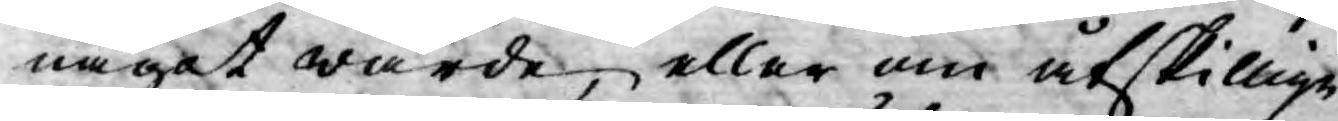något wärde, eller om åtskillige
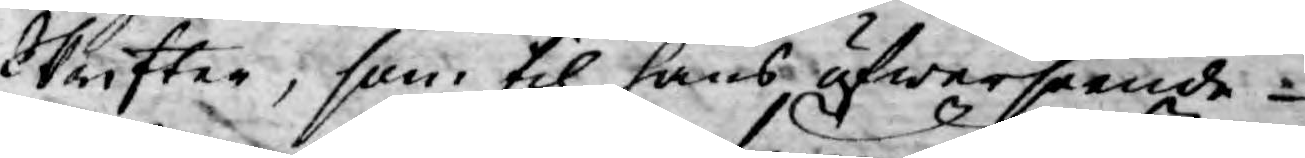Skrifter, som til hans, öfwerseende
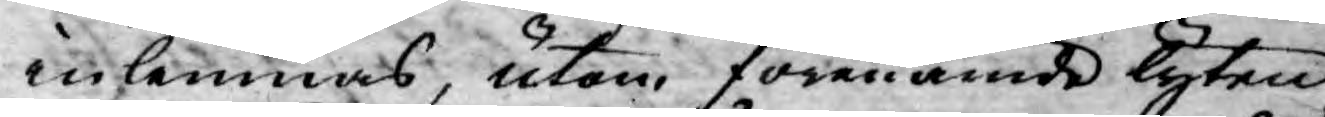inlemnas, utan, förenämnde lyten
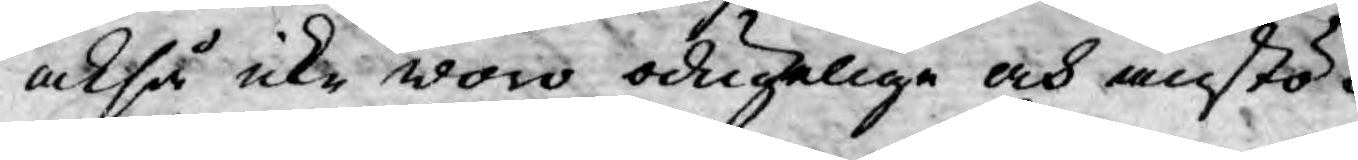också icke woro odugelige och anstö¬
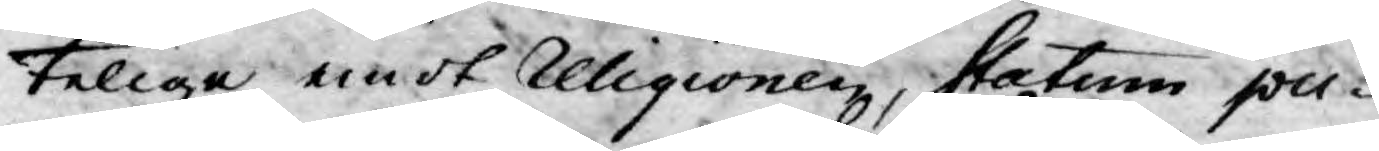telige emot Religionen, statum pu¬
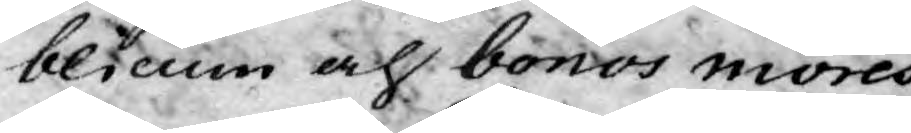blicum och bonos mores
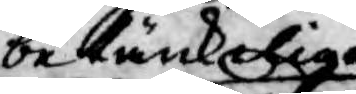betänkelige
